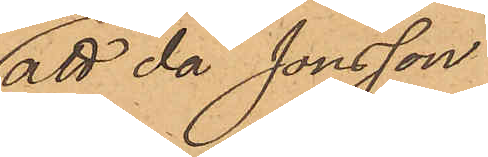att då Jonsson
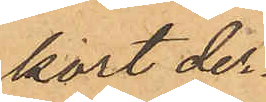kort der¬
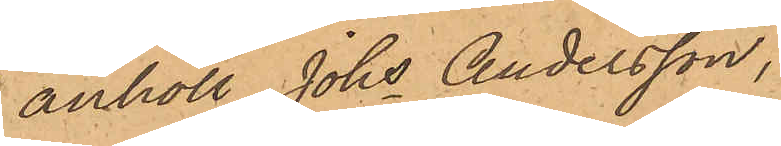anhöll Johs Andersson,
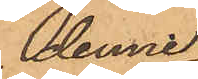denne
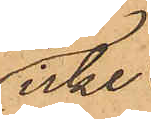icke
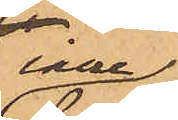inne¬
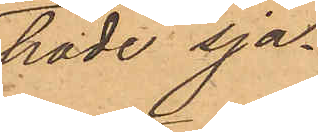hade sja¬
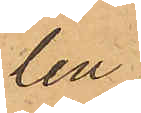len,
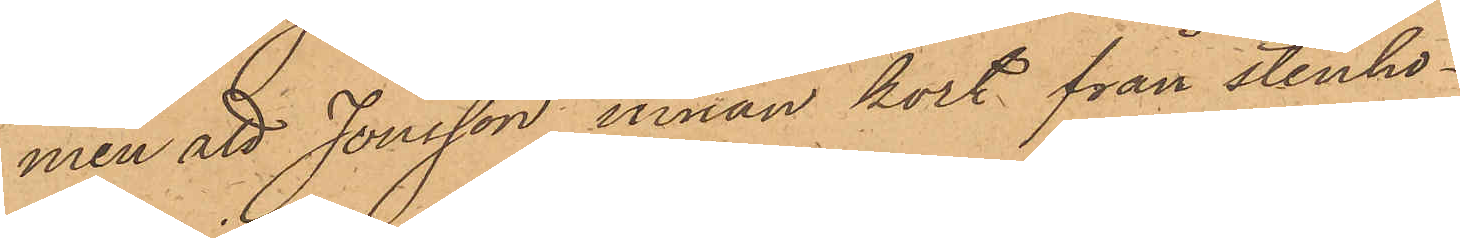men att Jonsson innan kort från stenhö¬
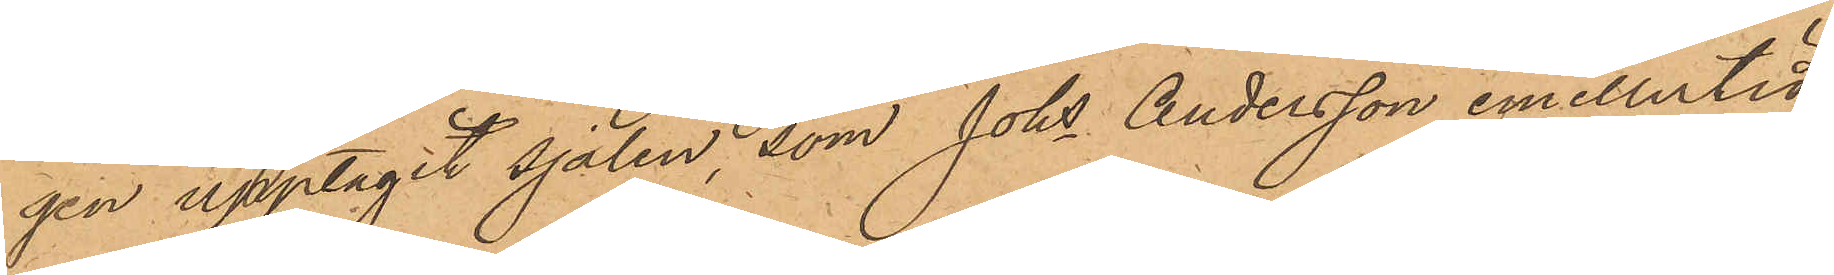gen upptagit sjalen, som Johs Andersson emellertid
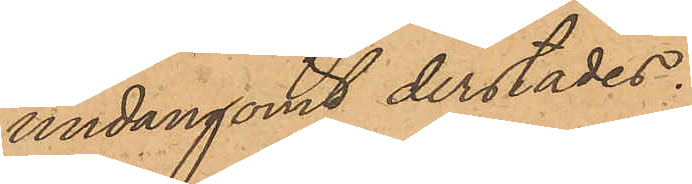undangömt derstädes.
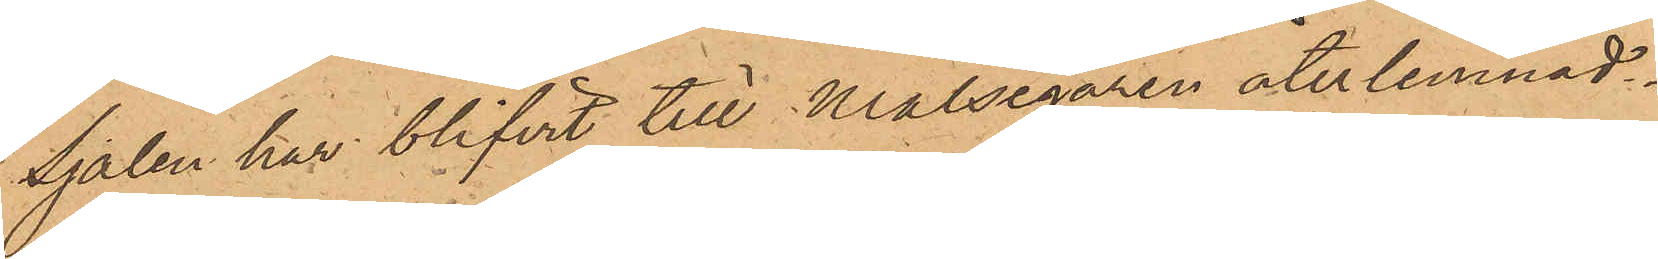Sjalen har blifvit till Målsegaren återlemnad.
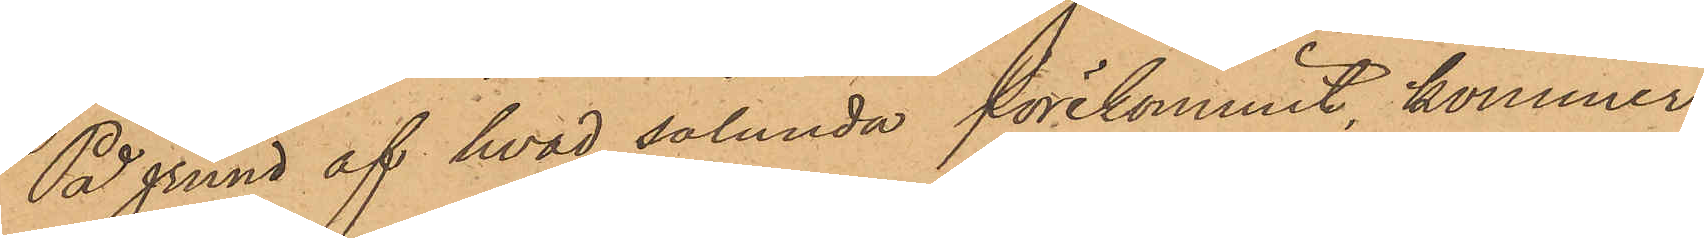På grund af hvad sålunda förekommit, kommer
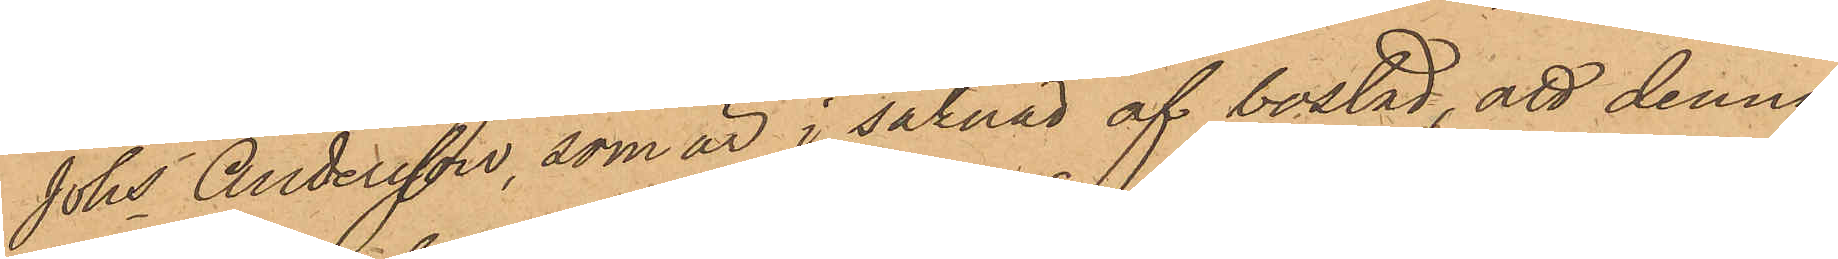Johs Andersson, som är i saknad af bostad, att denna
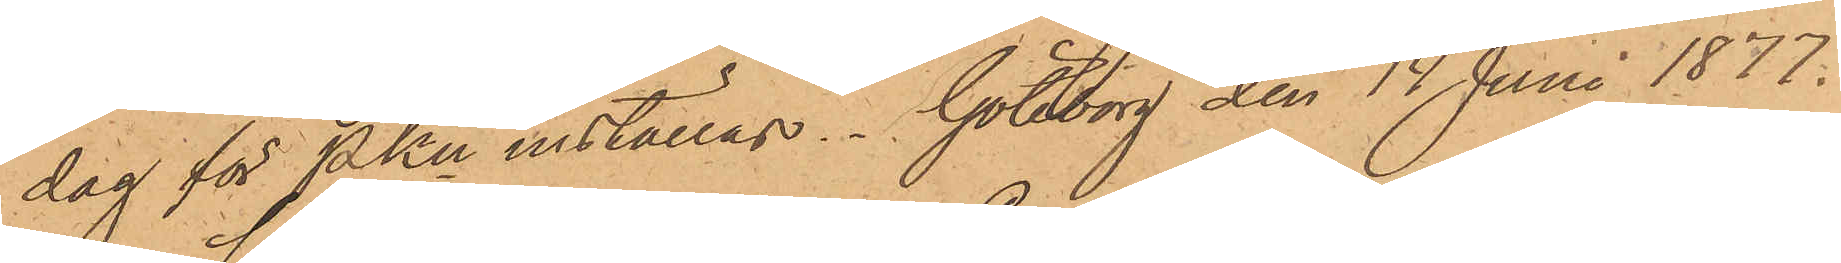dag för PKn inställas. Göteborg den 14 Juni 1877.
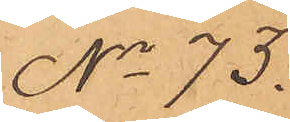No 73.
